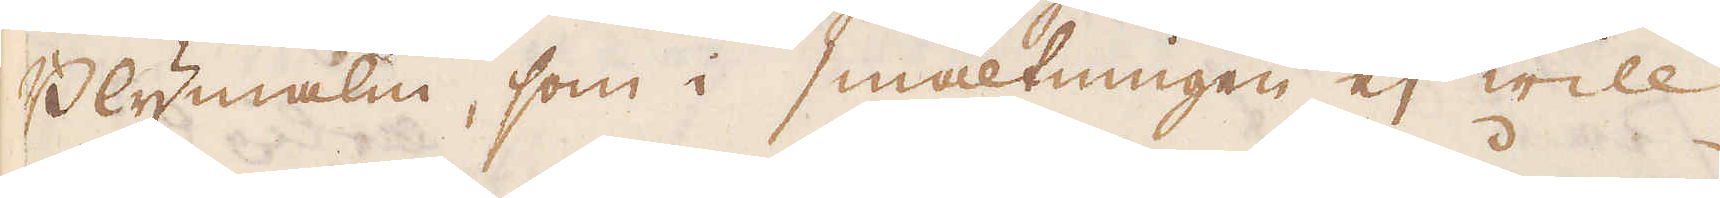Blymalm, som i smältningen ej will
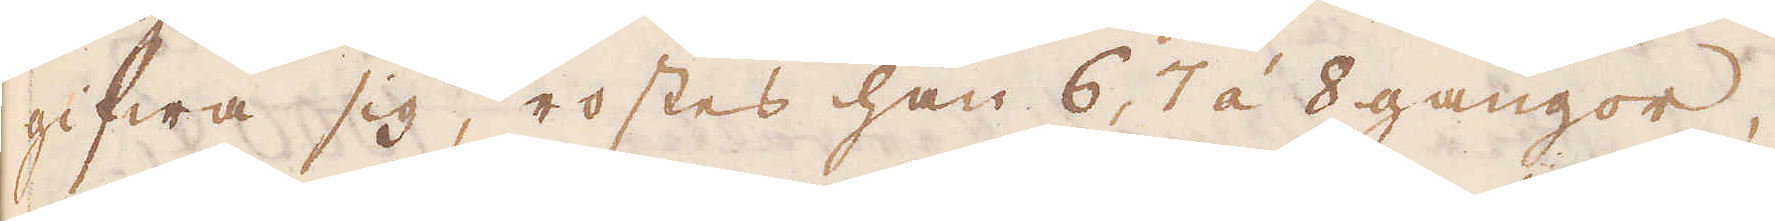gifwa sig, rostes han 6, 7 á 8 gångor,
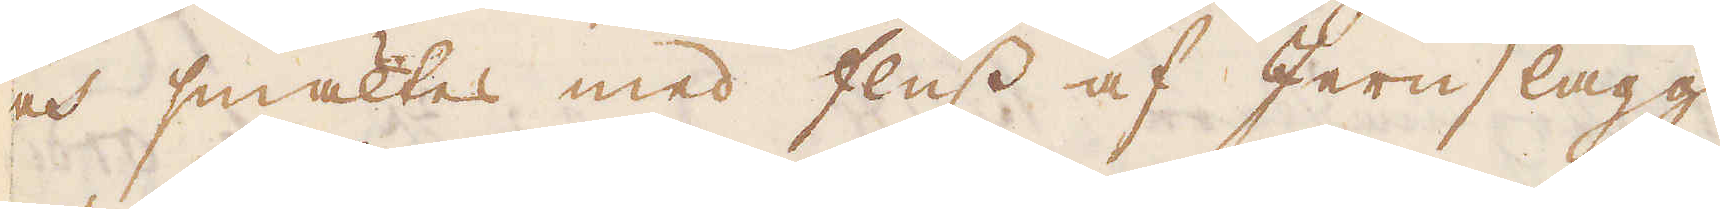och smältes med fluss af Jernslagg,
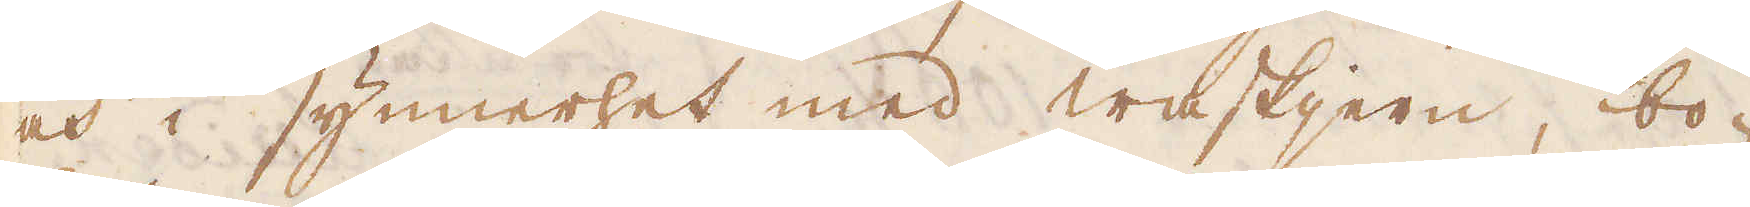och i synnerhet med waskjern, bo-
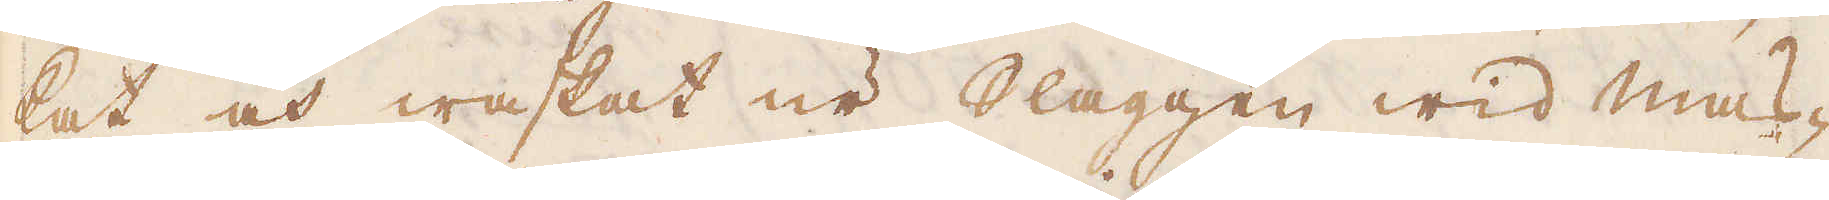kat och waskat ur Slaggen wid Mas-
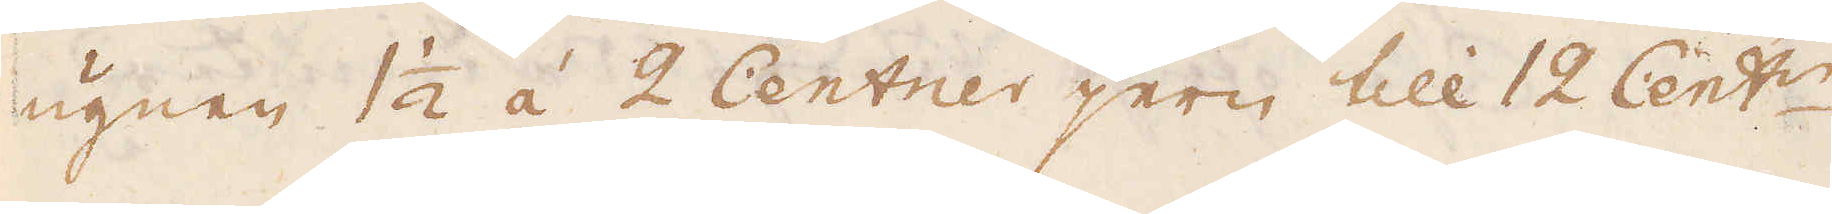ugnen 1 1/2 á 2 Centner jern till 12 Cent:r
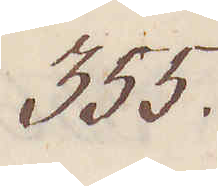355.
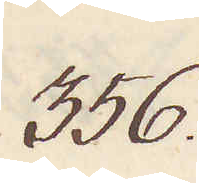356.
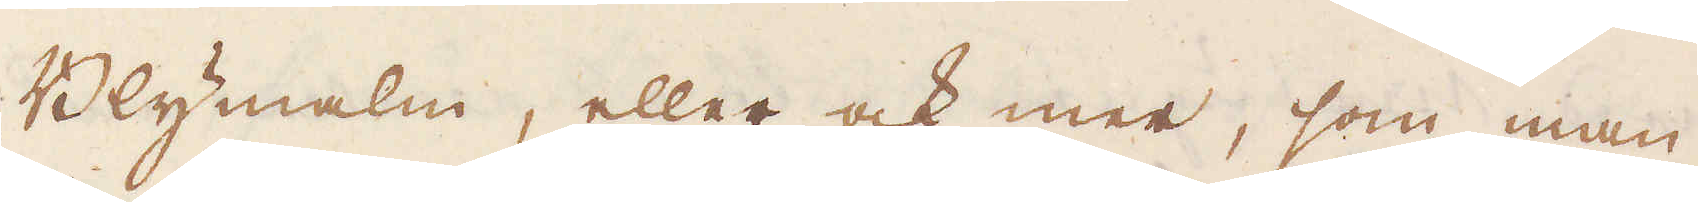Blymalm, eller ock mer, som man
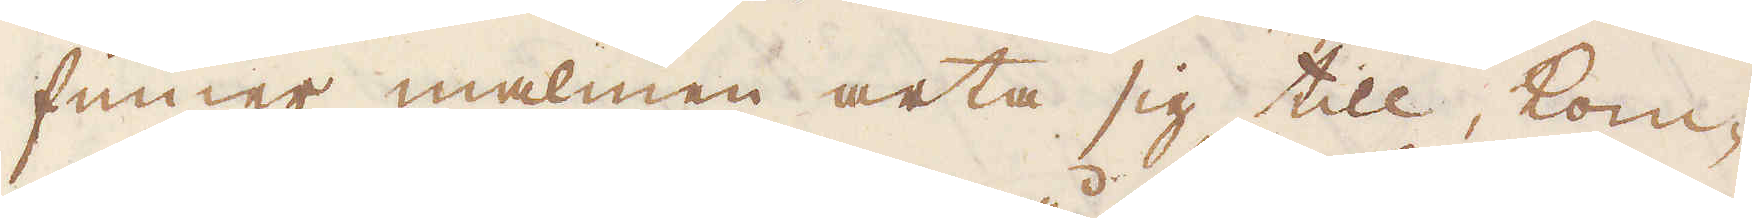finner malmen arta sig till, kom-
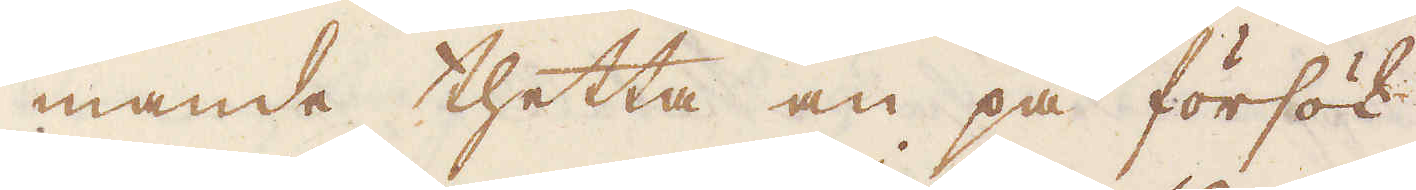mande thetta an på försök.
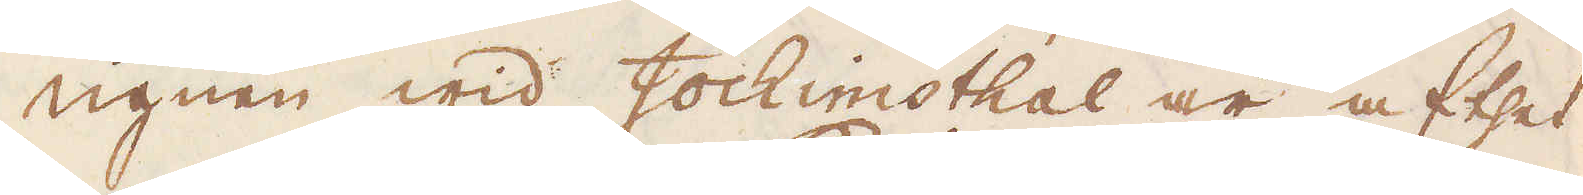Ugnen wid Jochimsthal är af thet
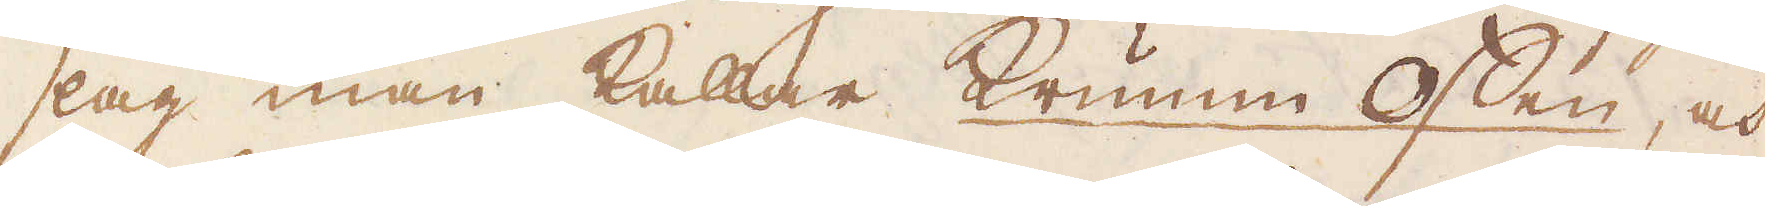slag man kallar Krumm Offen, och
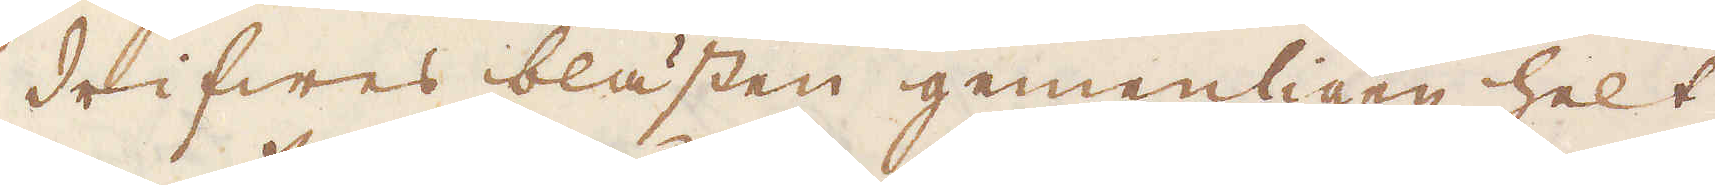drifwes blästen gemenligen helt
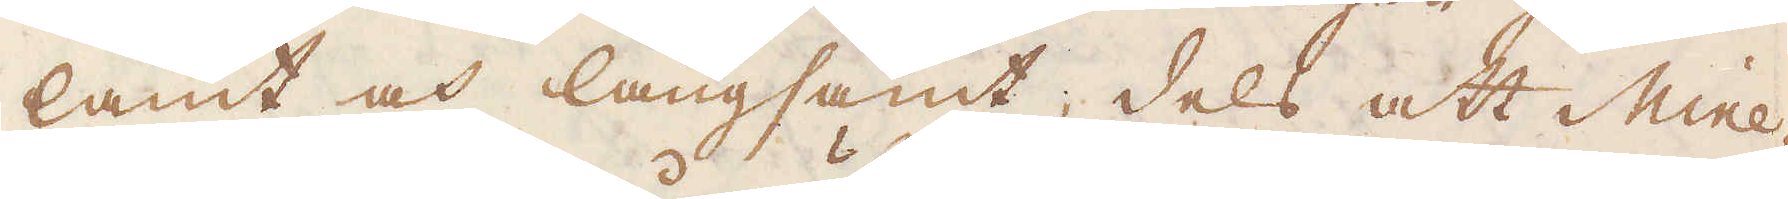lamt och långsamt; dels att Mine-
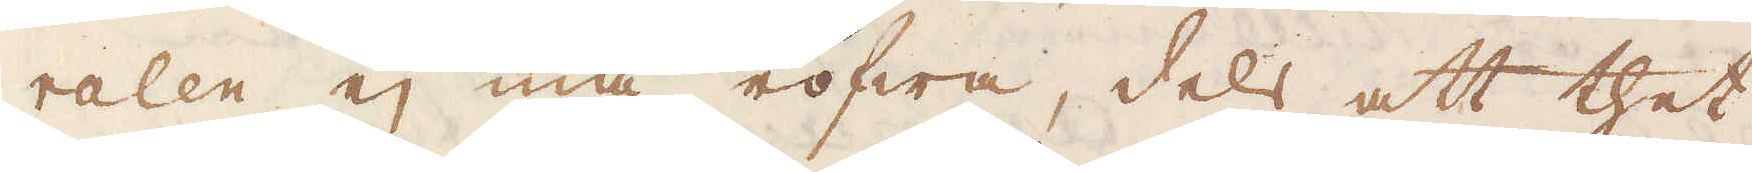ralen ej må röfwa, dels att thet
